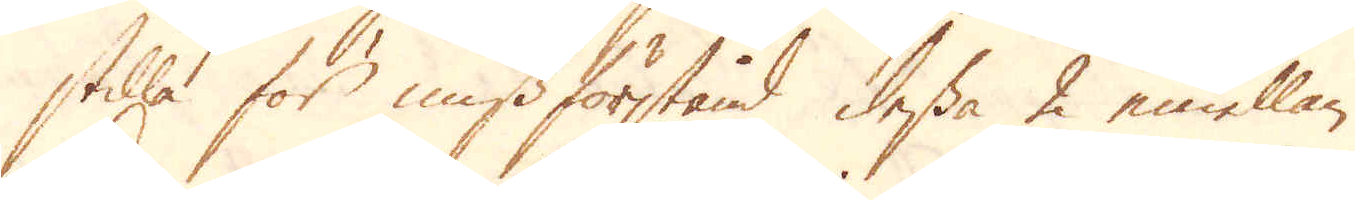stilla för missförstånd dessa 2 emellan.
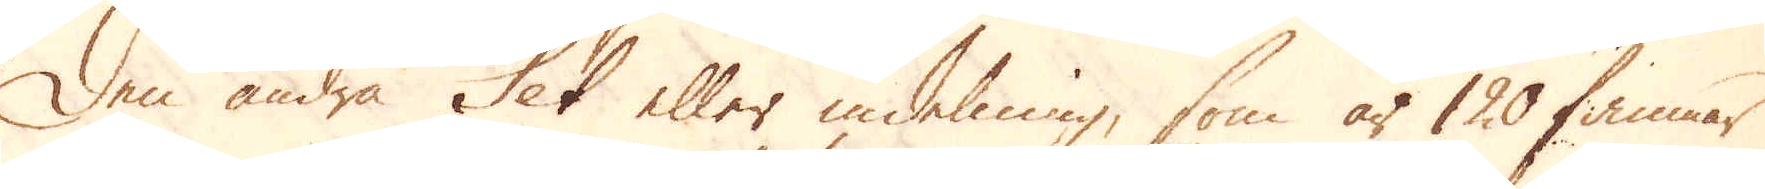Den andra Set eller indelning, som är 120 famnar
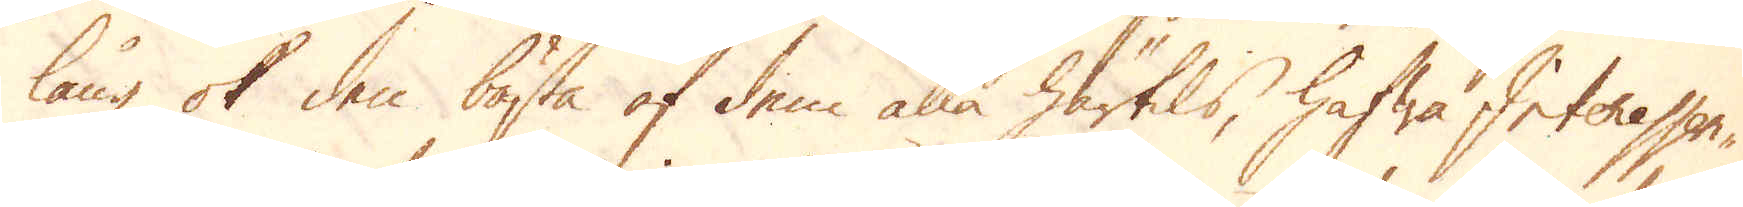lång ok den bästa af dem alla härtils, hafwa Interessen-
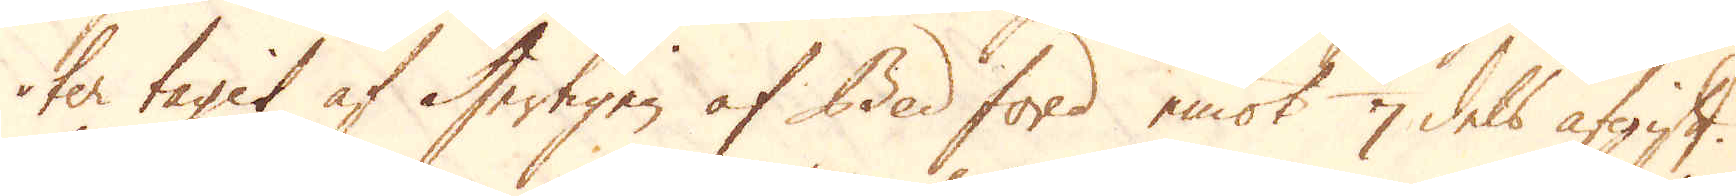ter tagit af Hertigen af Bedford emot 1/7 dels afgift.
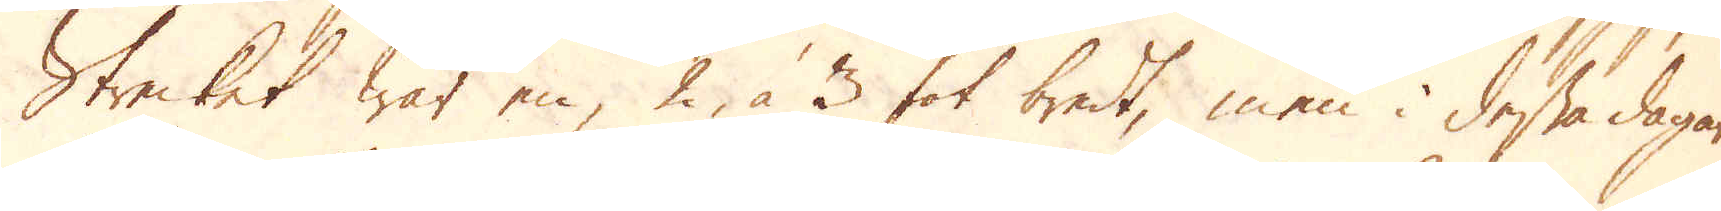Strecket war en, 2 à 3 fot bredt, men i dessa dagar
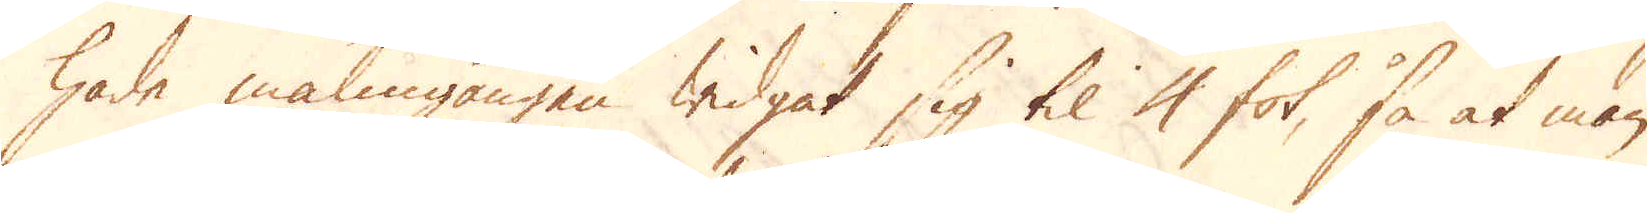hade malmgången widgat sig til 4 fot, så at man
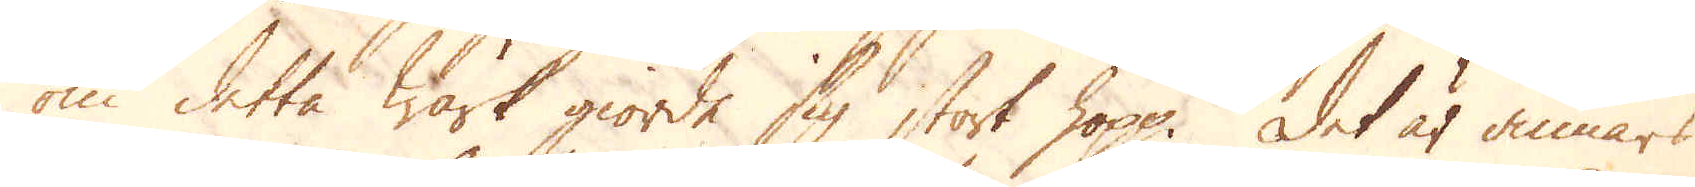om detta Wärk giorde sig stort hopp. Det är annars
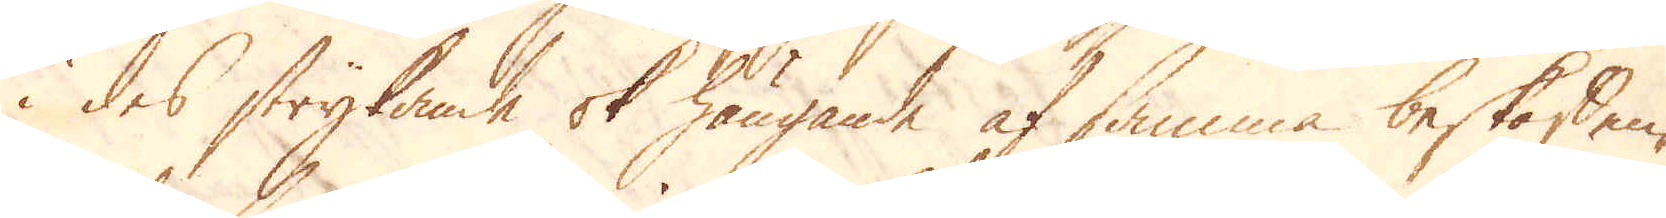i des strykande ok hängande af samma beskaffen-
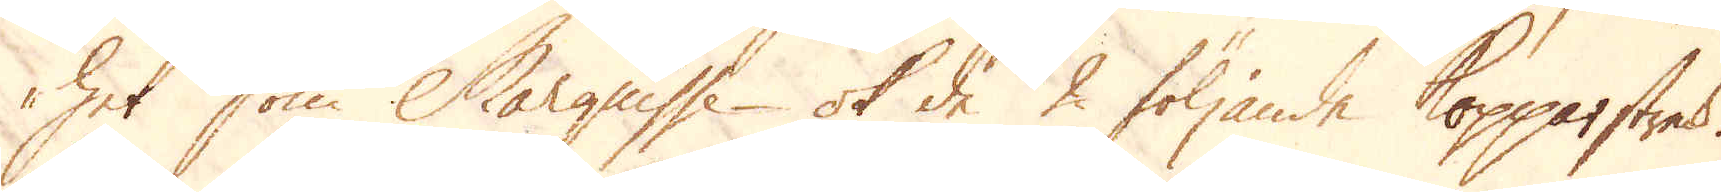het som Marguisse ok de 2 följande Kopparstreck.
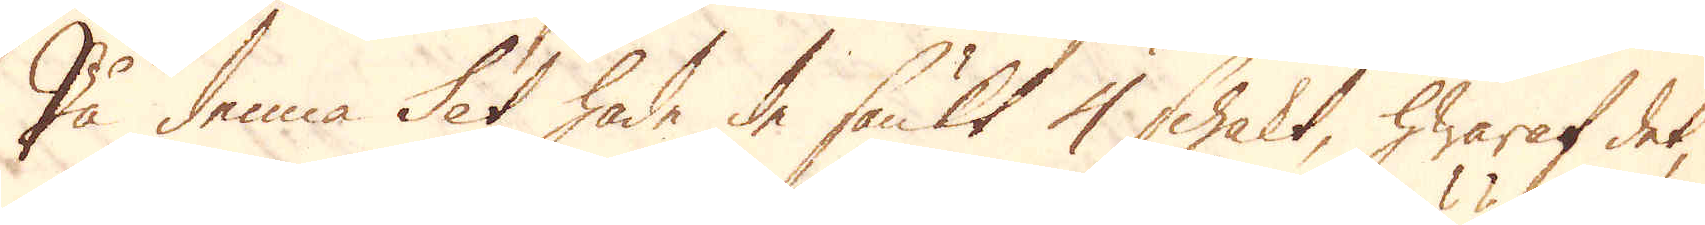På denna Set hade de sänkt 4 schakt, hwaraf det,
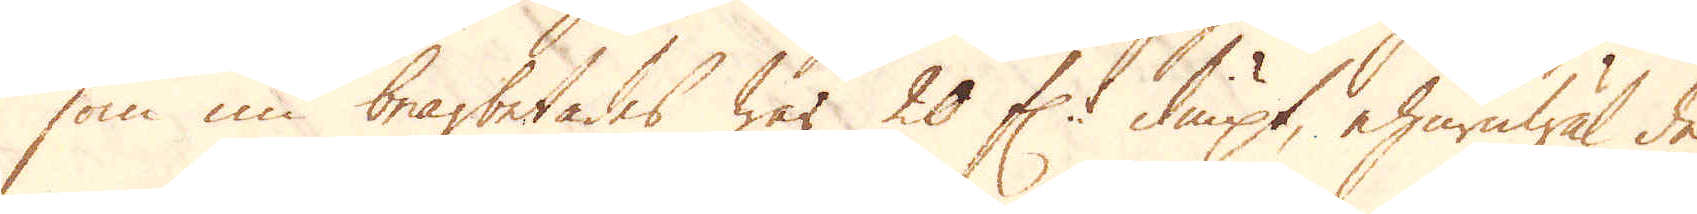som nu bearbetades war 20 f:r diupt, ehuruwäl de
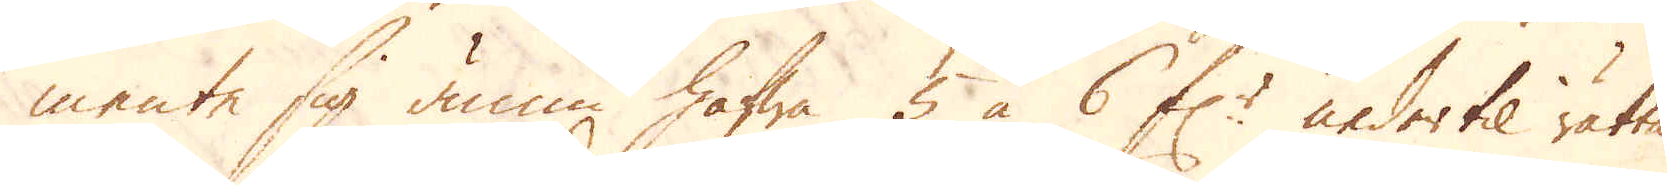mente sig ännu hafwa 5 à 6 f:r neder til rätta
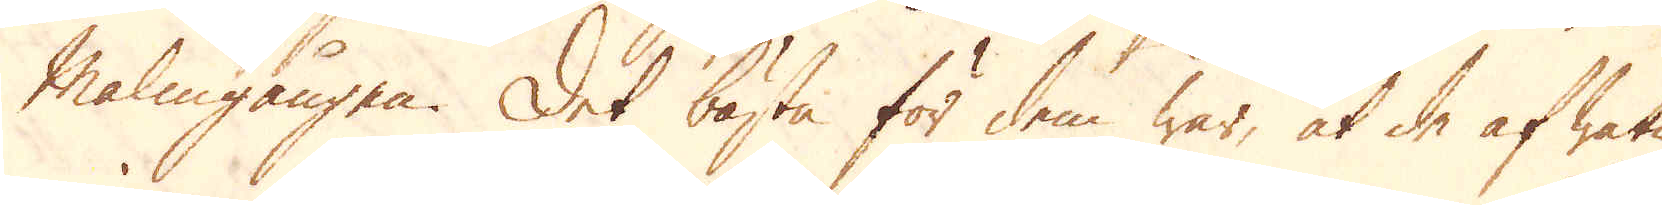Malmgången. Det bästa för dem war, at de af watn
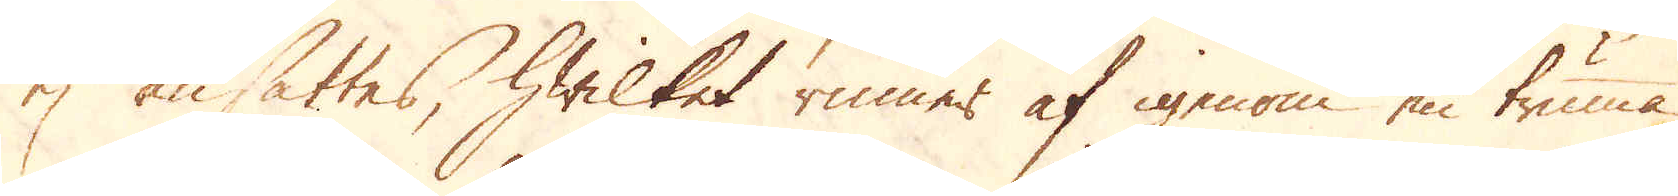ej ansattes, hwilket rinner af igenom en truma
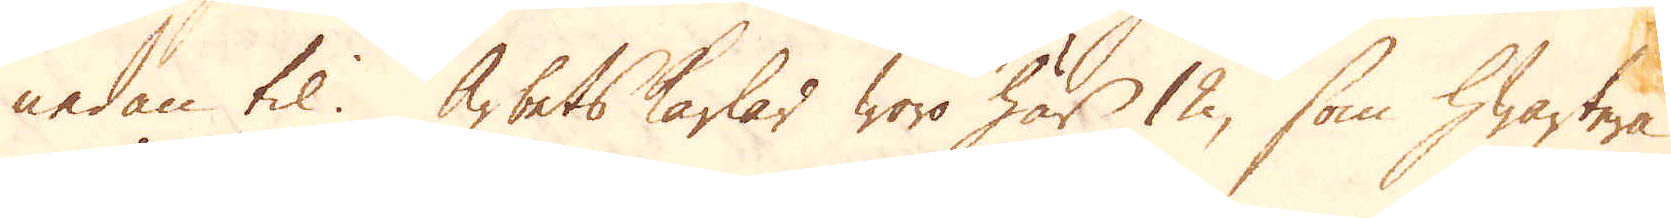nedan til. Arbetskarlar woro här 12, som hwartera
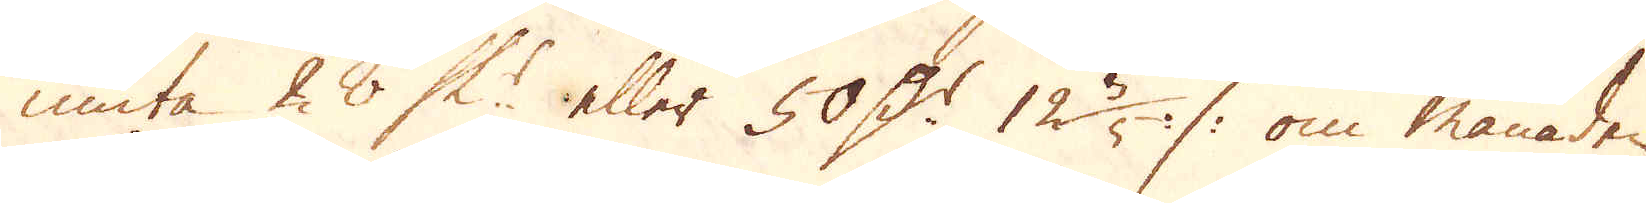niuta 28 Sk:r eller 50 D:r 12 3/5 :/: om månaden,
